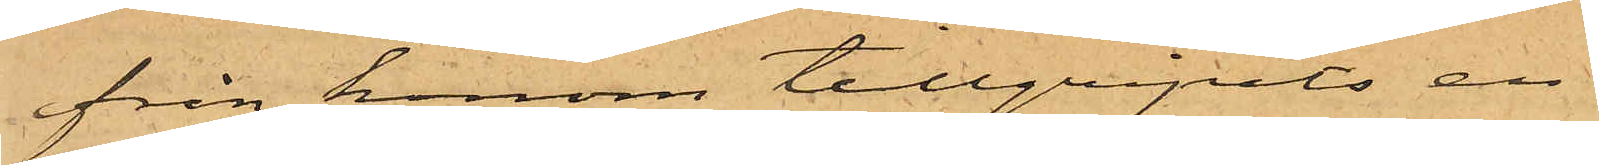från honom tillgripits en
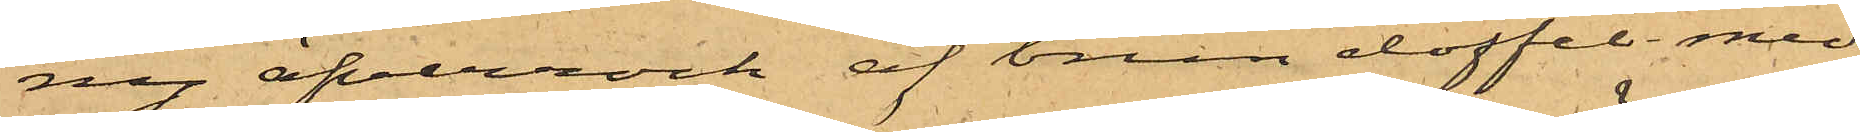ny öfverrock af brun doffel med
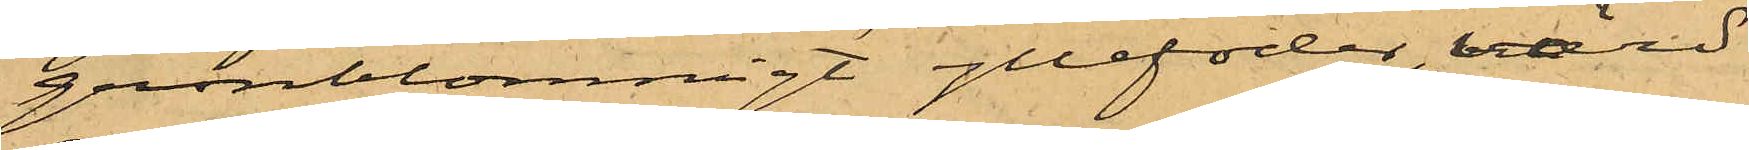grönblommigt yllefoder, värd
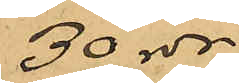30 rdr.
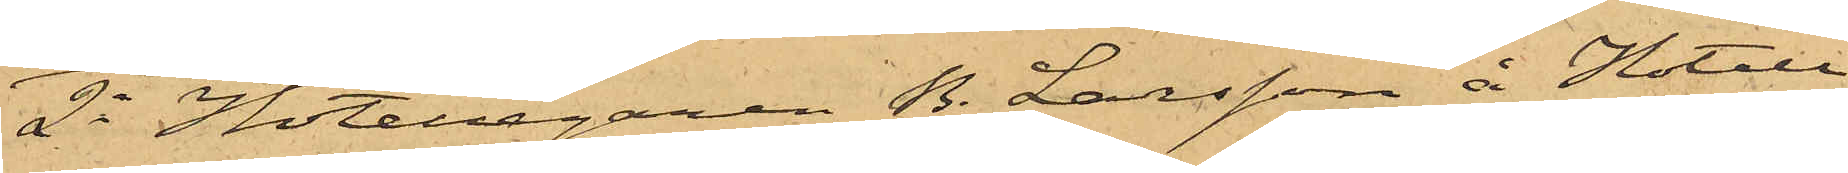2o Hotellegaren B. Larsson å Hotell
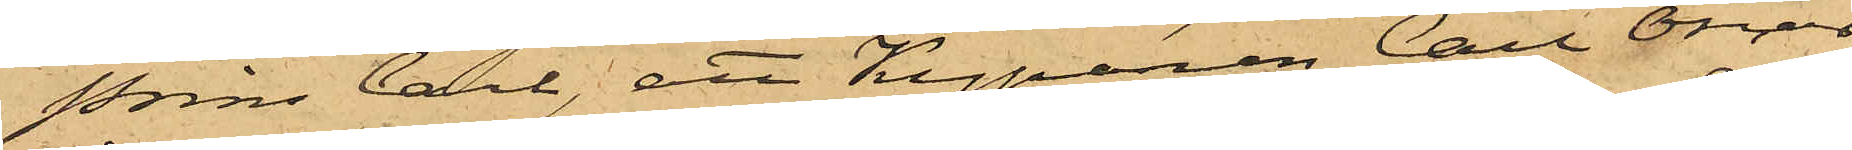Prins Carl, att Kyparen Carl Oscar
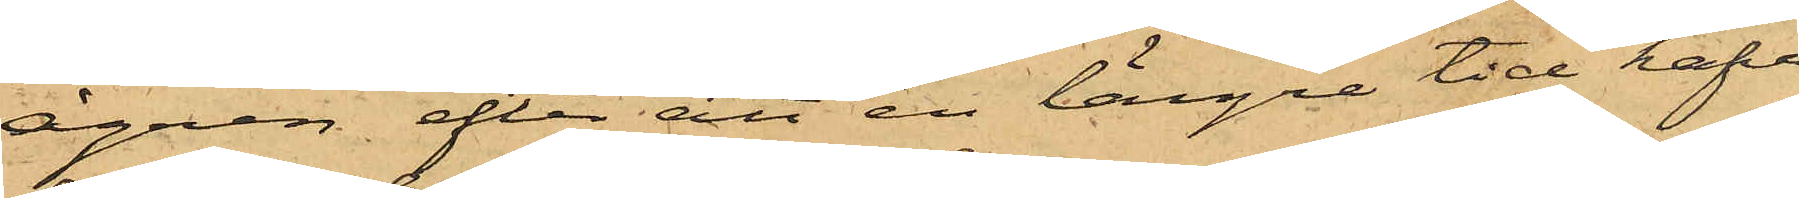Ågren, efter att en längre tid hafva
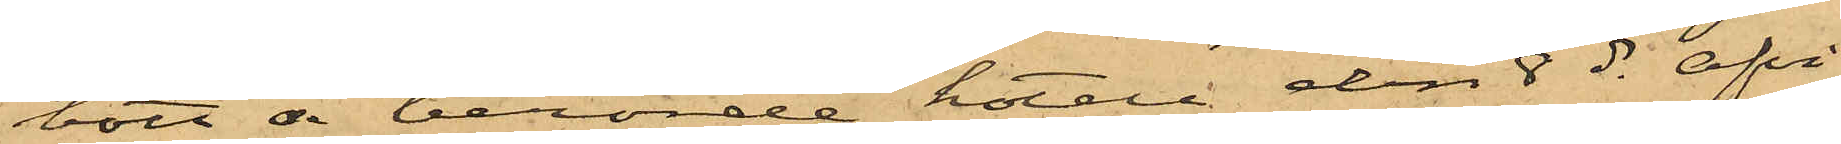bott å berörde hotell den 8 ds afvi¬
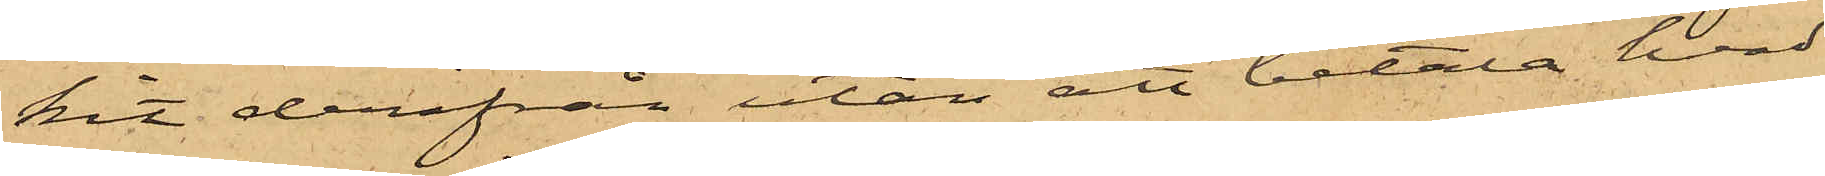kit derifrån utan att betala hvad
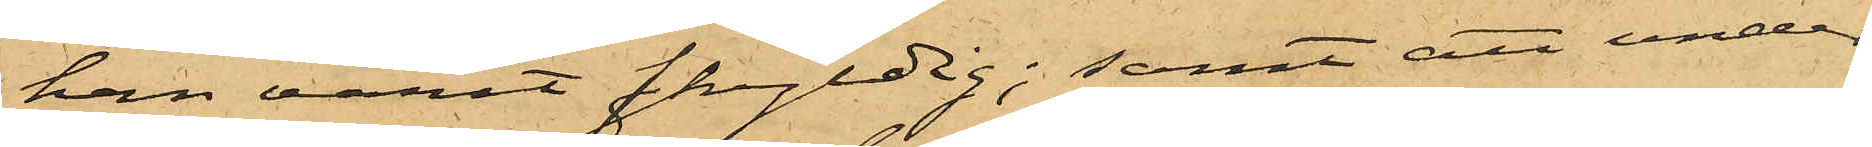han varit skyldig; samt att under
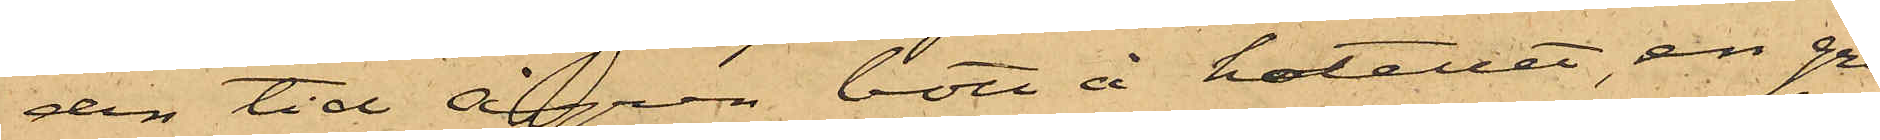den tid Ågren bott å hotellet, en grå
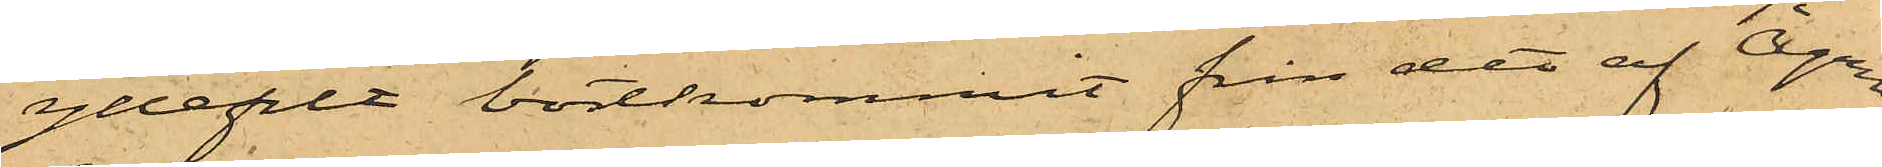yllefilt bortkommit från det af Ågren
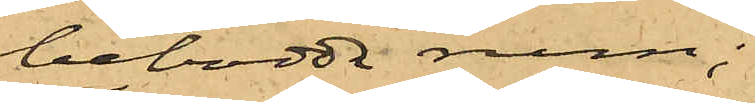bebodda rum;
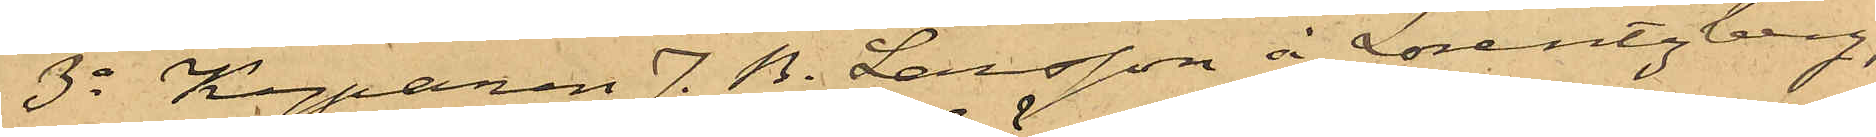3o Kyparen J. B. Larsson å Lorentzberg,
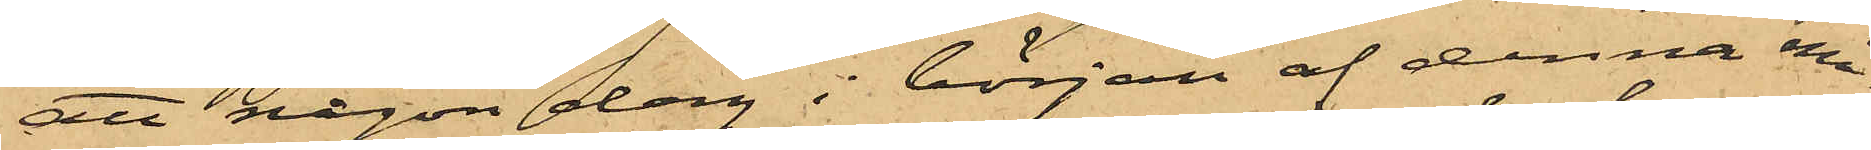att någon dag i början af denna må¬
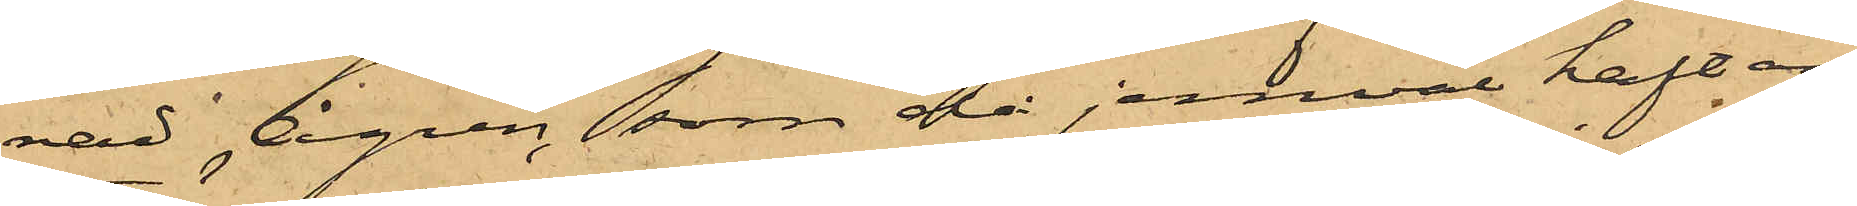nad Ågren, som då jemväl haft an¬
